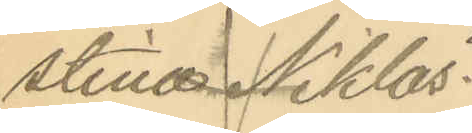stina Niklas¬
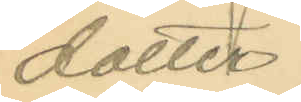dotter
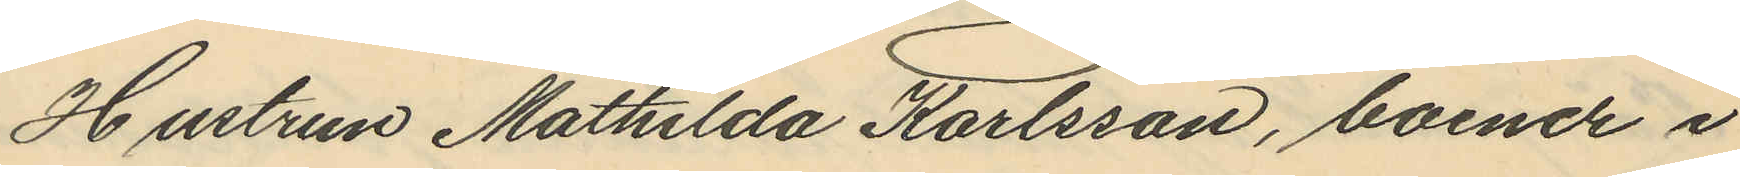Hustrun Mathilda Karlsson, boende i
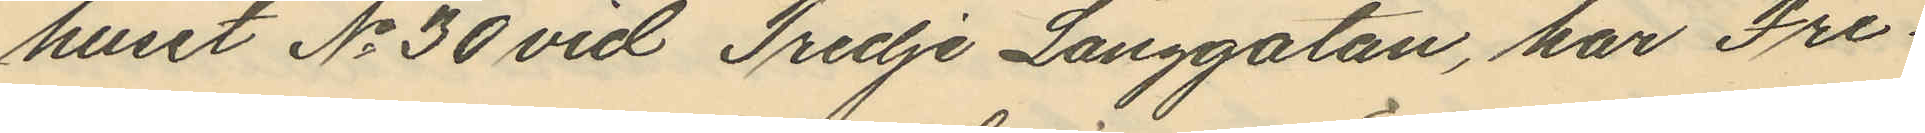huset No 30 vid Tredje Långgatan, har Fre¬
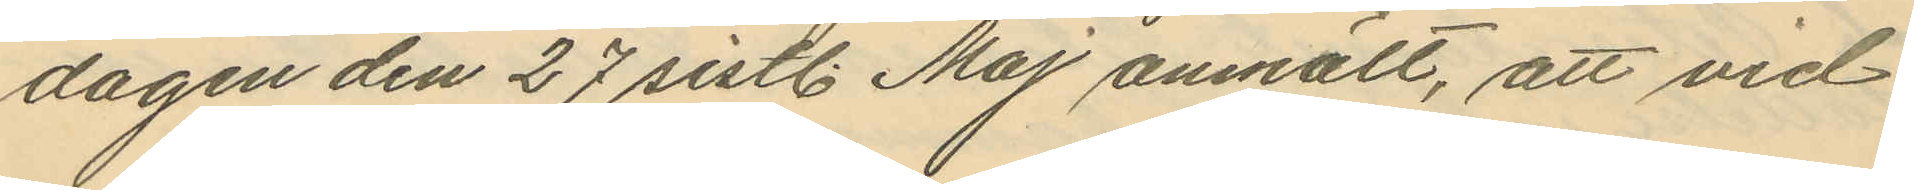dagen den 27 sistl. Maj anmält, att vid
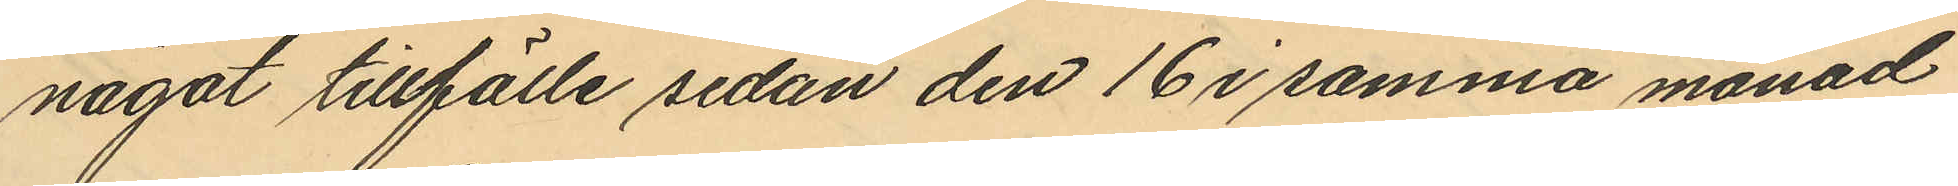något tillfälle sedan den 16 i samma månad
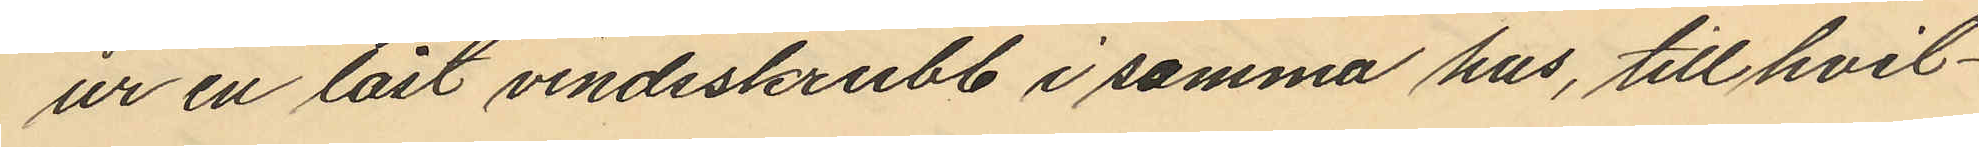ur en låst vindsskrubb i samma hus, till hvil¬
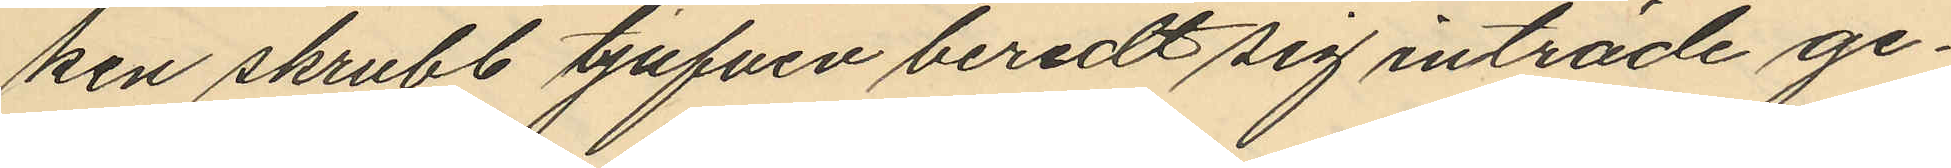ken skrubb tjufven beredt sig inträde ge¬
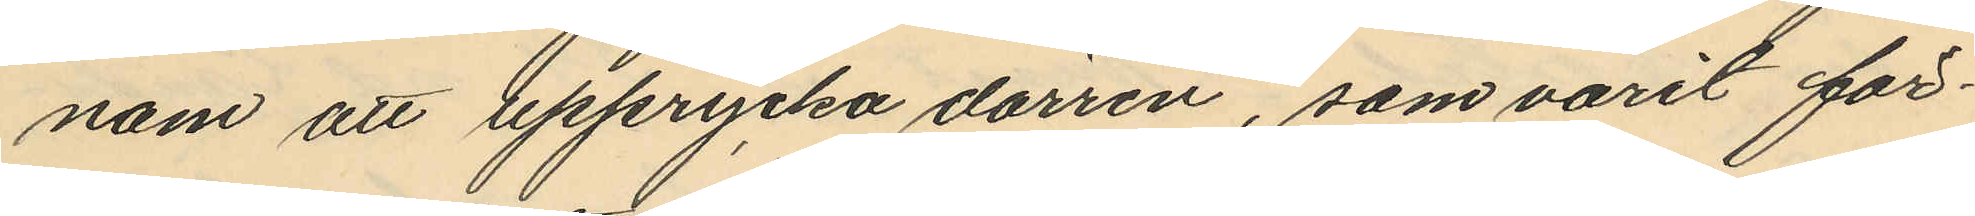nom att upprycka dörren, som varit för¬
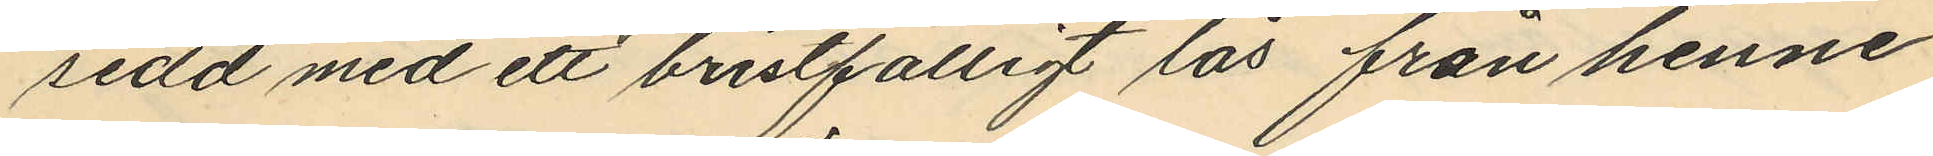sedd med ett bristfälligt lås från henne
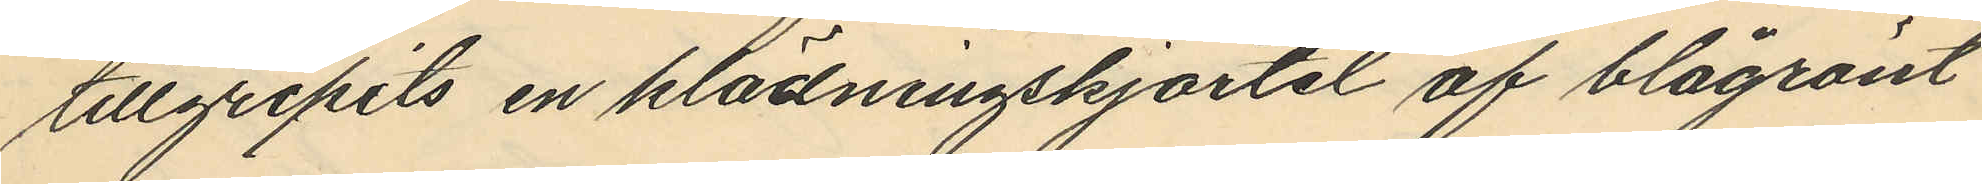tillgripits en klädningskjortel af blågrönt
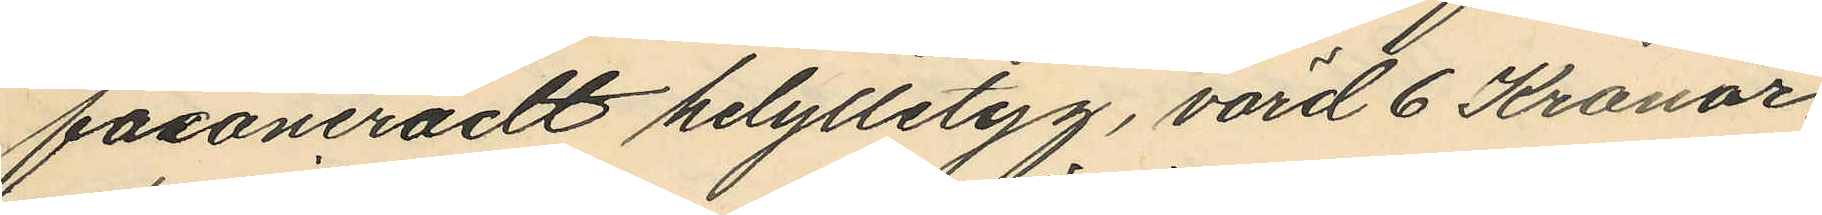fasaneradt helylletyg, värd 6 Kronor.
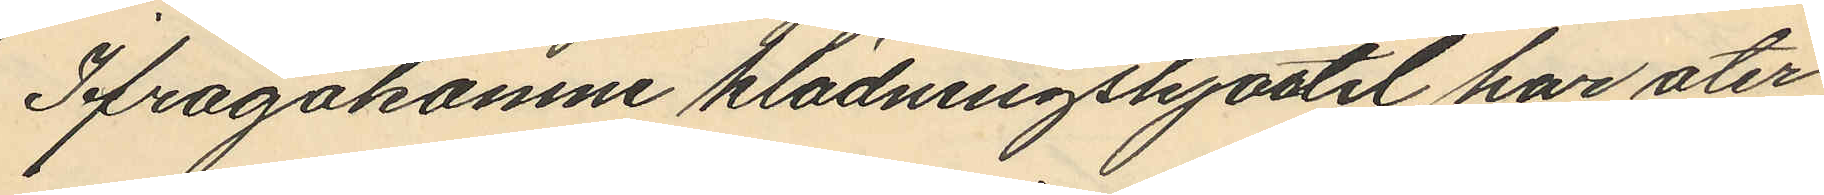Ifrågakomne klädningshjostel har åter¬
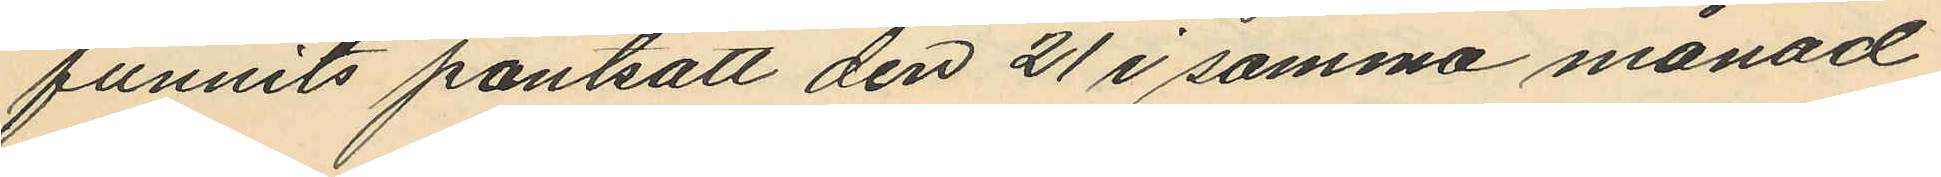funnits pantsatt den 21 i samma månad
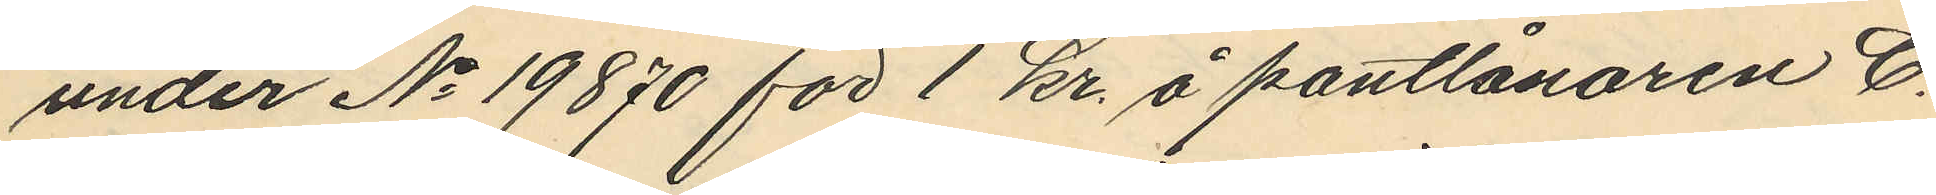under No 19870 för 1 kr. å pantlånaren C.
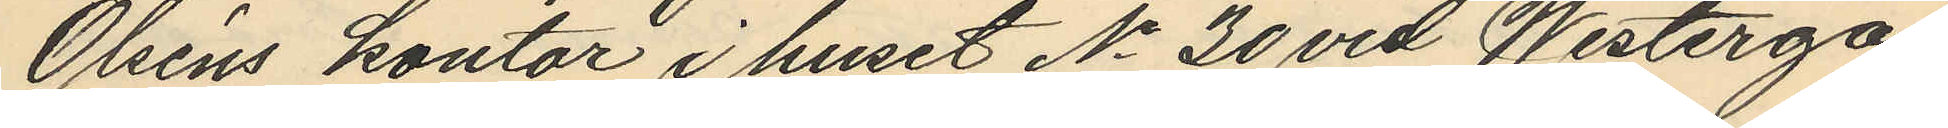Olséns kontor i huset No 30 vid Westerga¬
